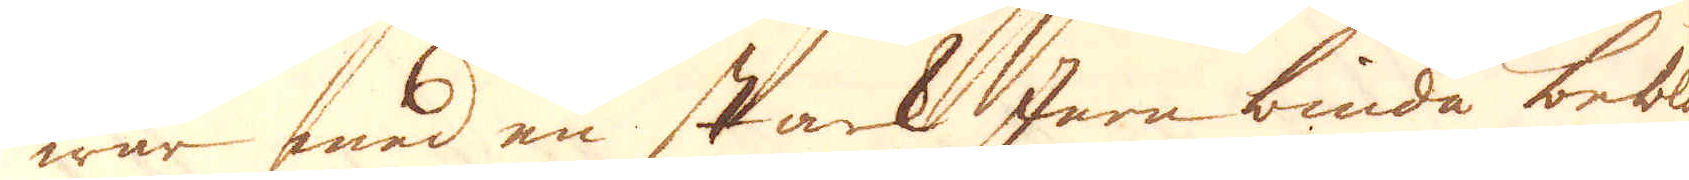war med en stark Jern binda beblan-
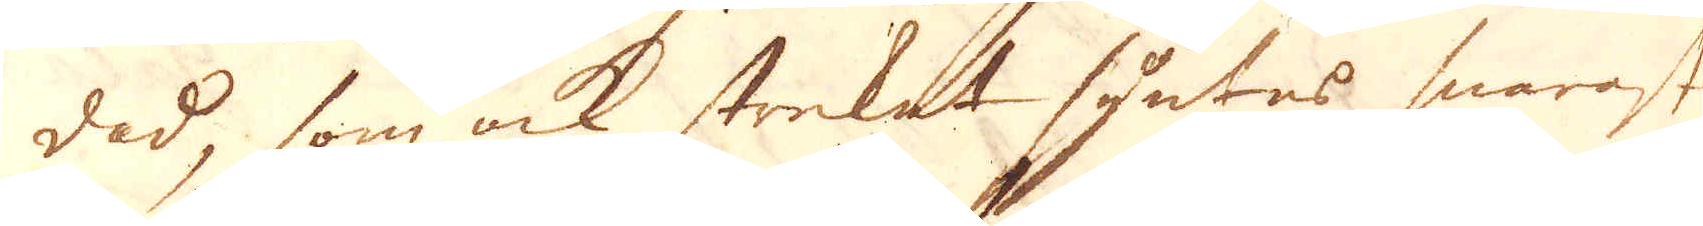dad, som ock strecket syntes snarast
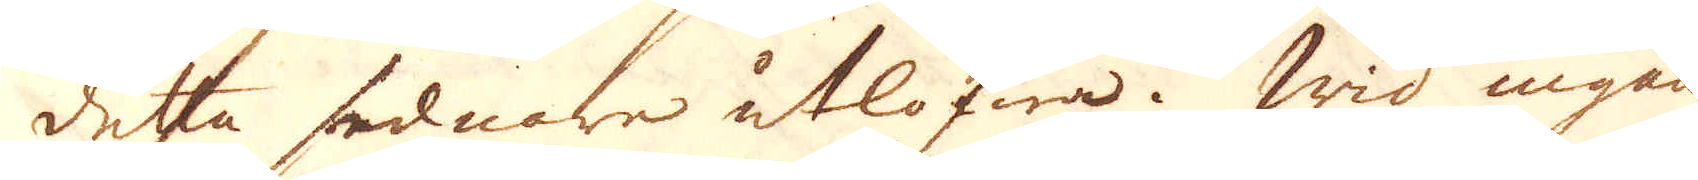detta sednare utlofwa. Wid ingången
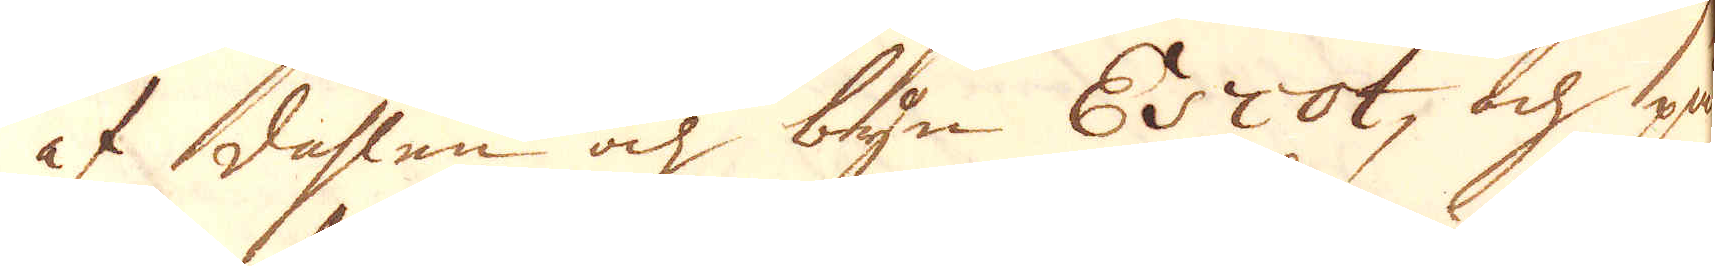af dahlen och byn Escot, och på
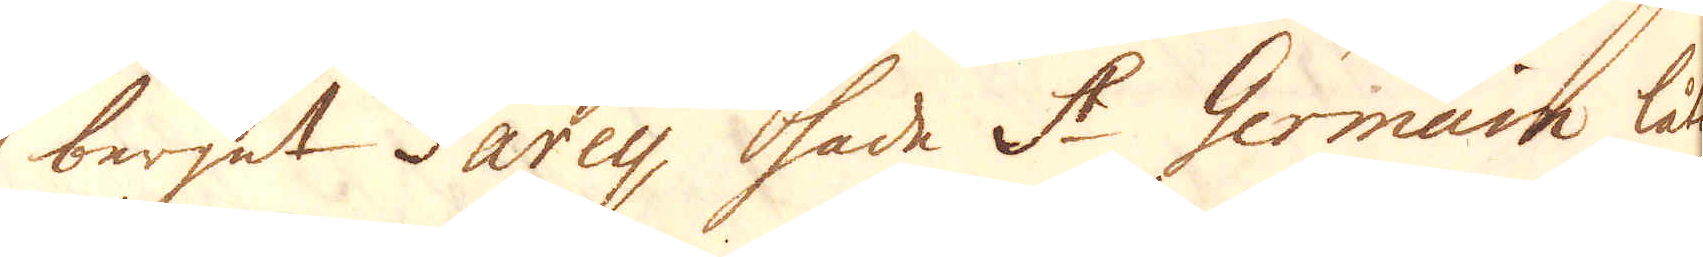berget Tarey hade St Germain låtit
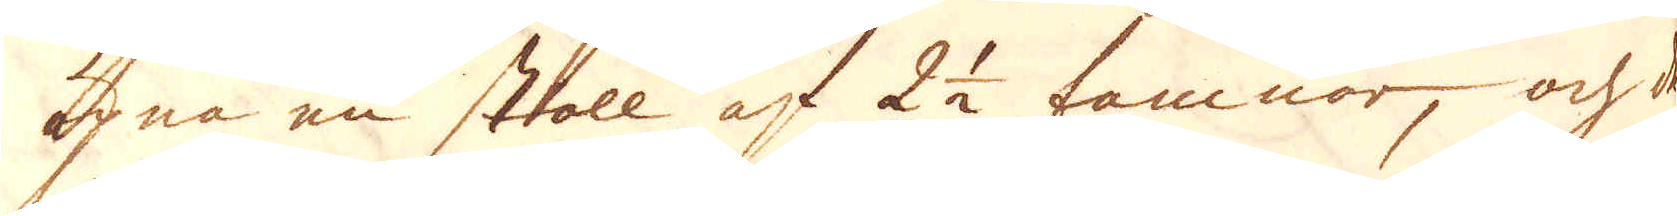öpna en stoll af 2 1/2 famnor, och der
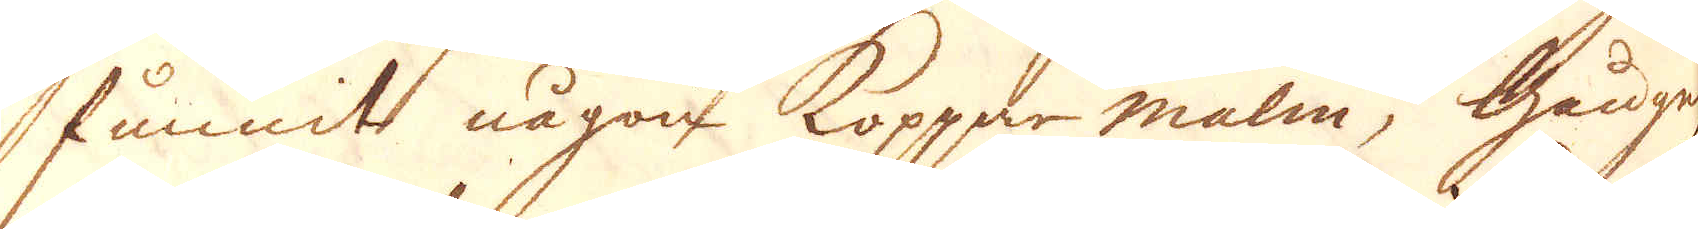funnit någon Koppar-malm; Gången
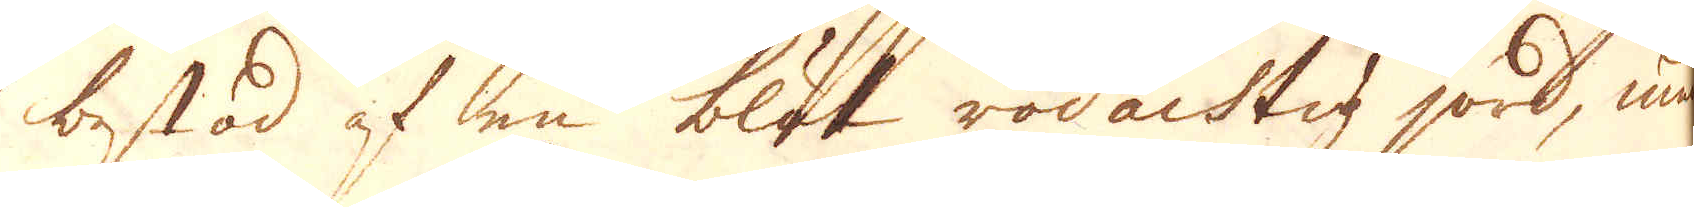bestod af en blek rödachtig jord, med
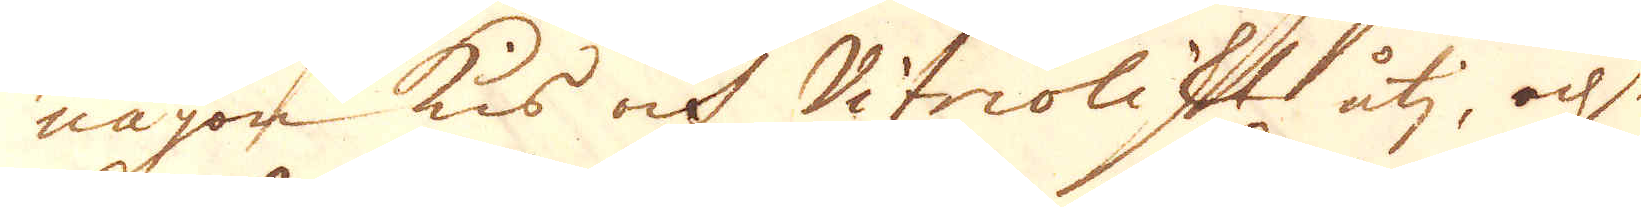någon kis och Vitrioliskt uti, och
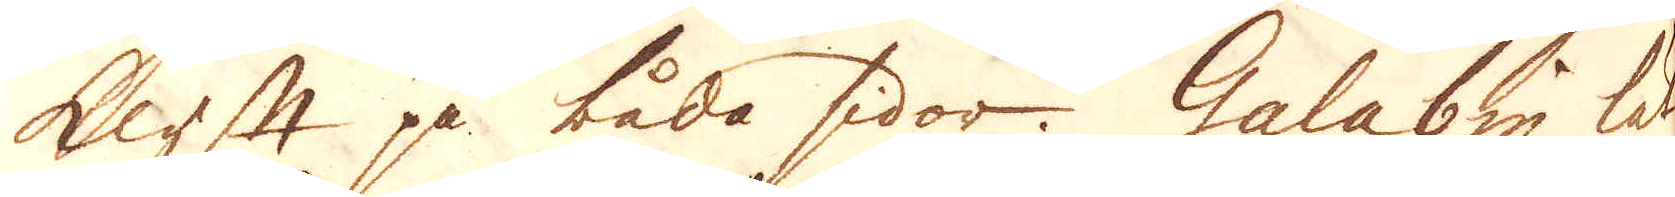klyfft på båda sidor. Galabin lät
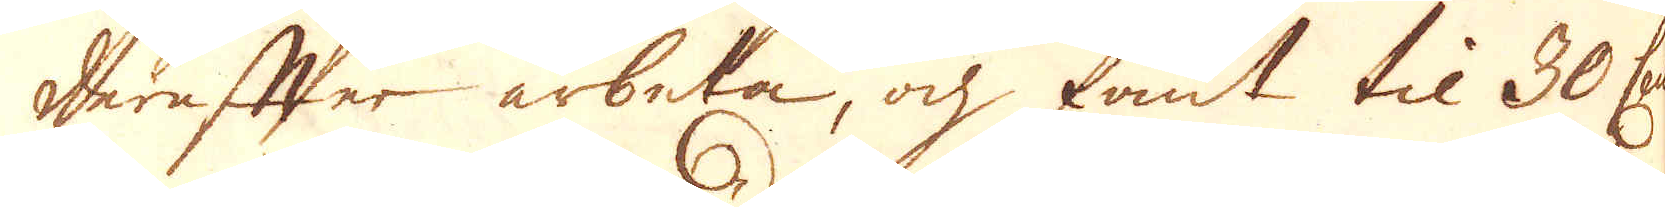derefter arbeta, och fant til 30 Cent:
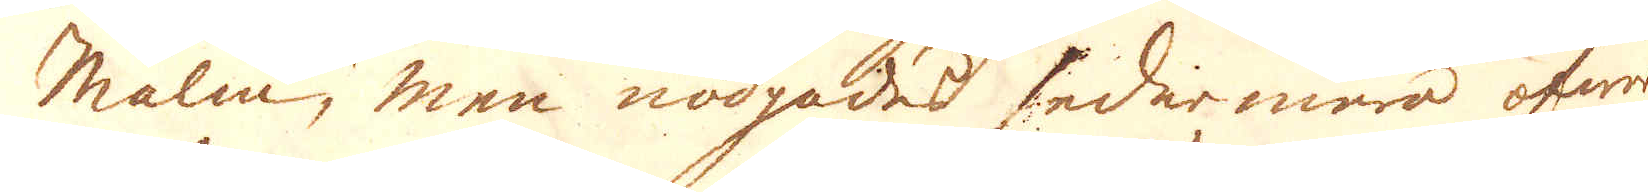malm, men nödgades sedarmera öfwer-
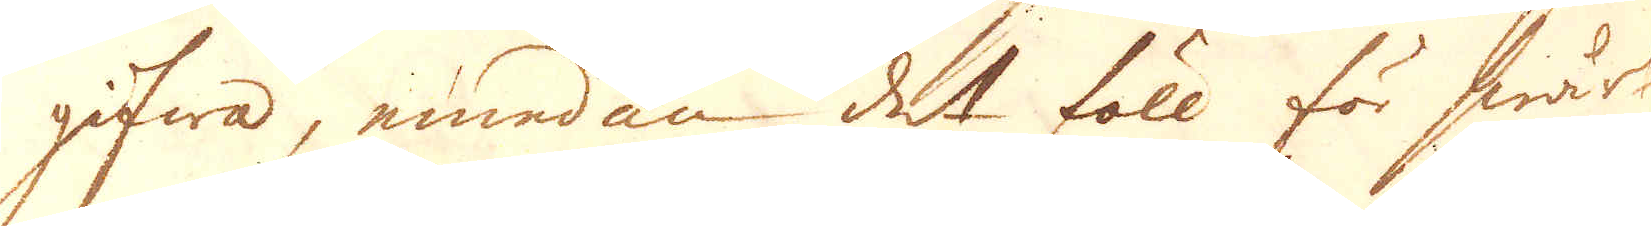gifwa, emedan det föll för swår-
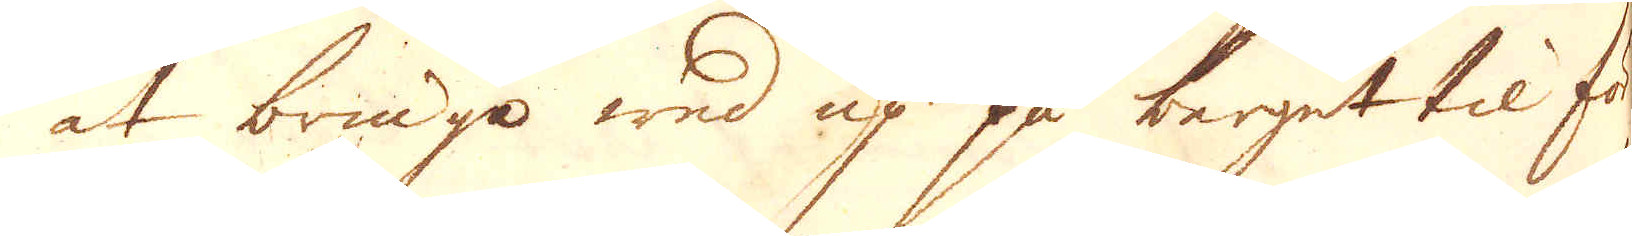at bringa wed up på berget til för-
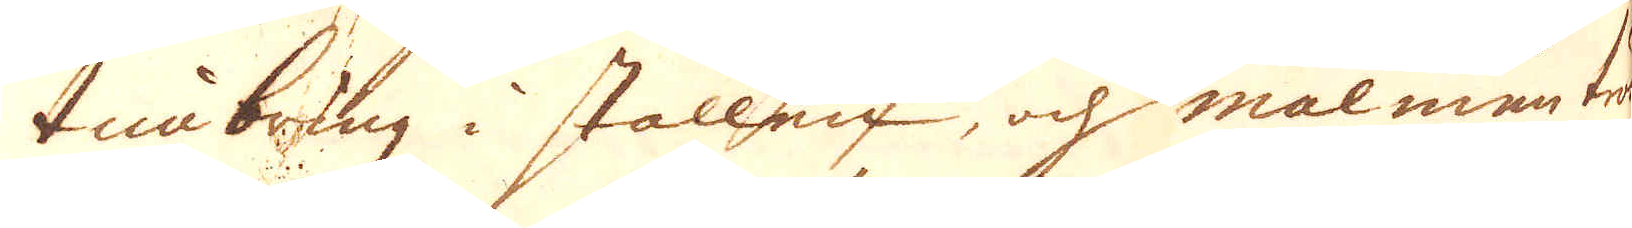timbring i stollen, och malmen tröt.
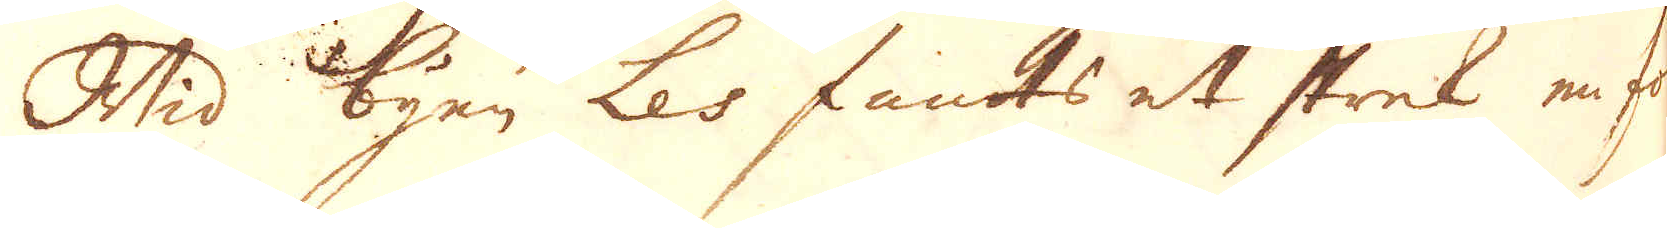Wid byen Les fants et strek en fot
